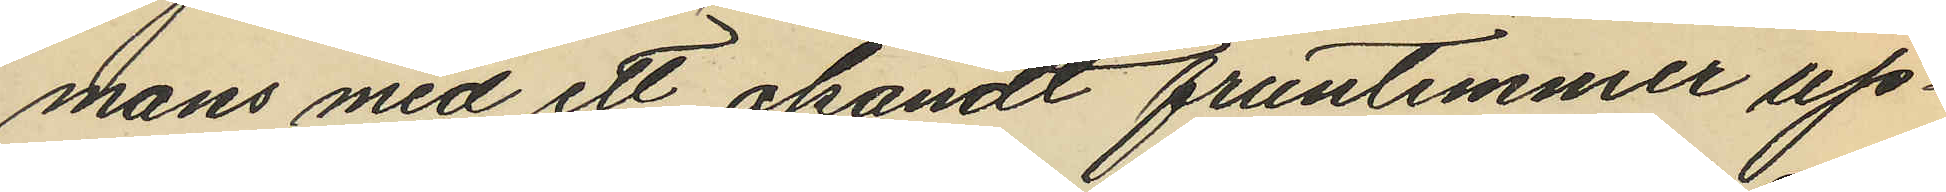mans med ett okändt fruntimmer up¬
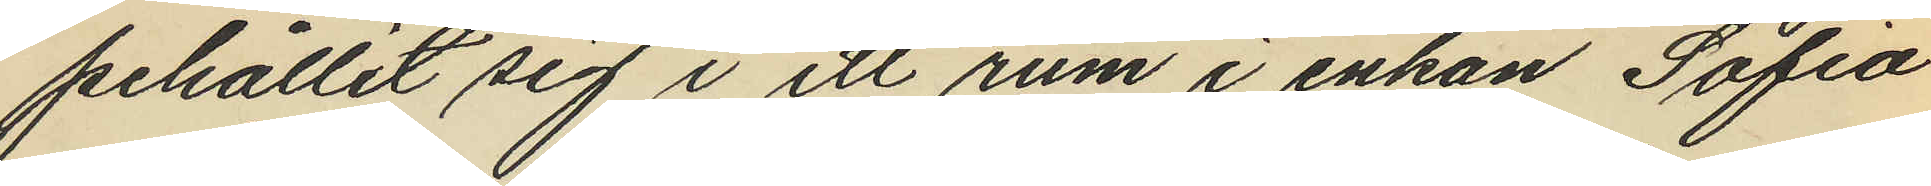pehållit sig i ett rum i enkan Sofia
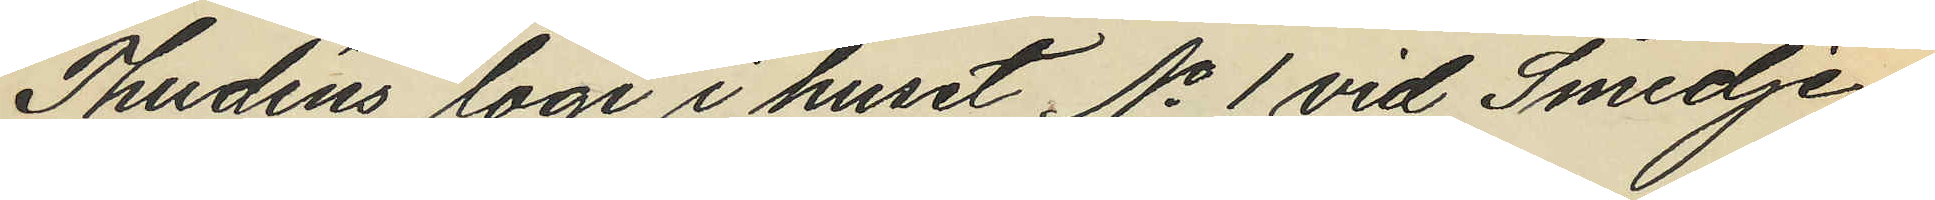Thudéns logi i huset No 1 vid Smedje¬
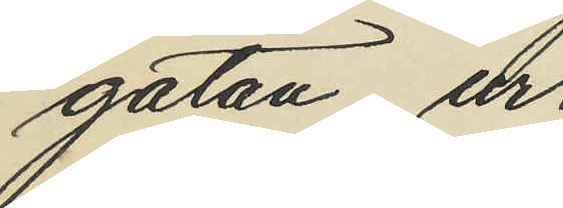gatan, ur
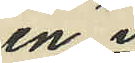en i
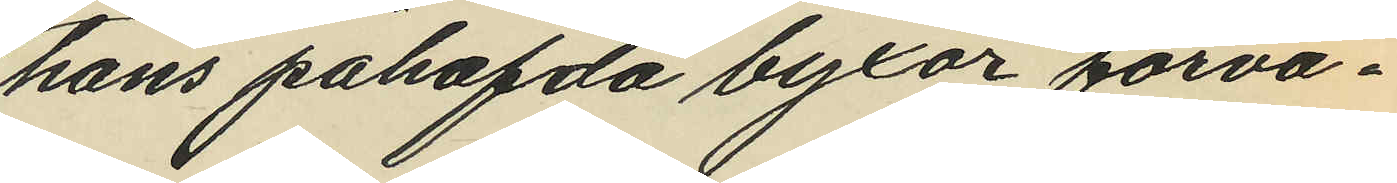hans påhafda byxor förva¬
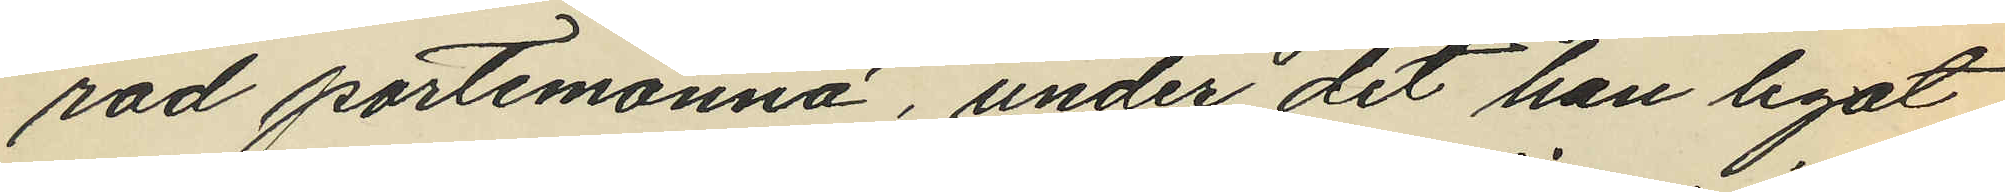rad portmonnä, under det han legat
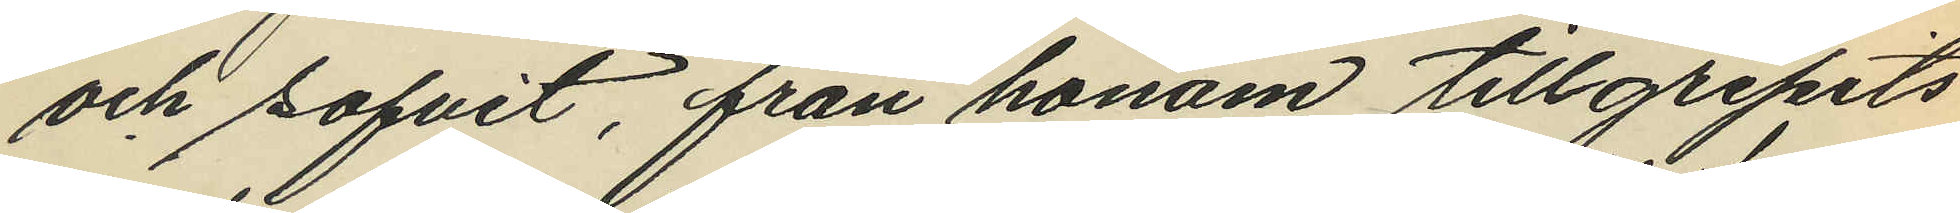och sofvit, från honom tillgripits
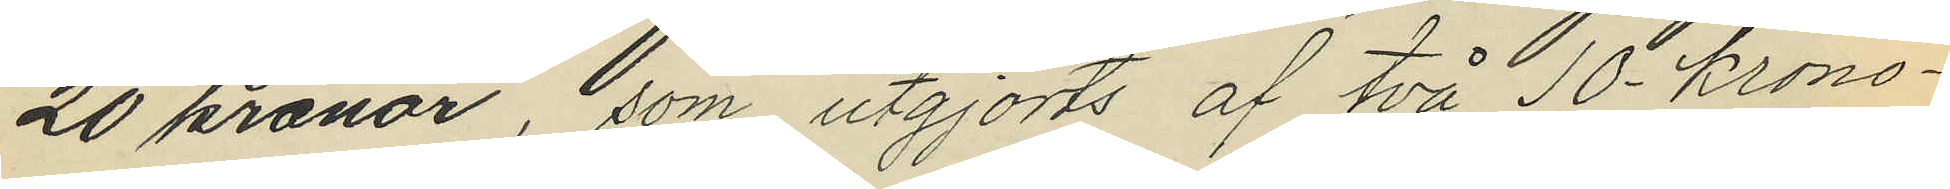20 kronar, om utgjorts af två 10 Krono¬
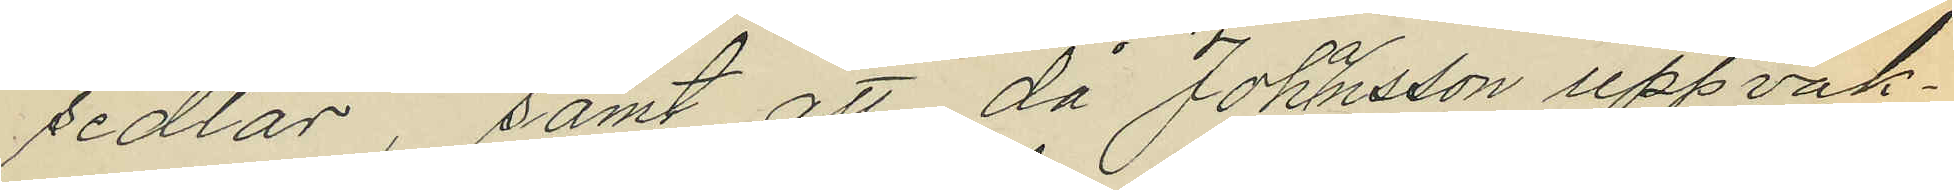sedlar, samt att, då Johansson uppvak¬
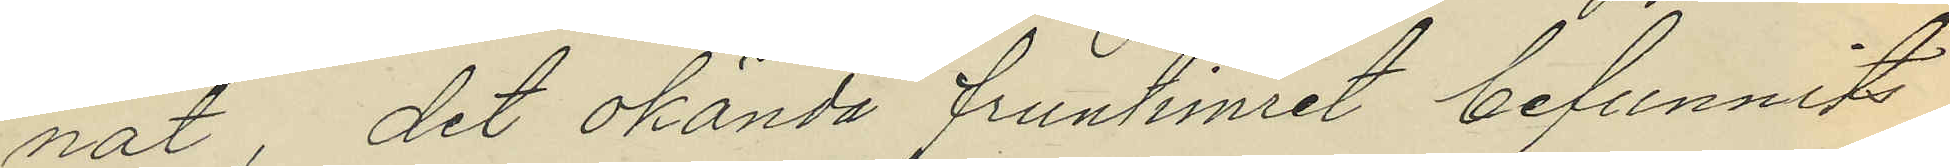nat, det okända fruntimret befunnits
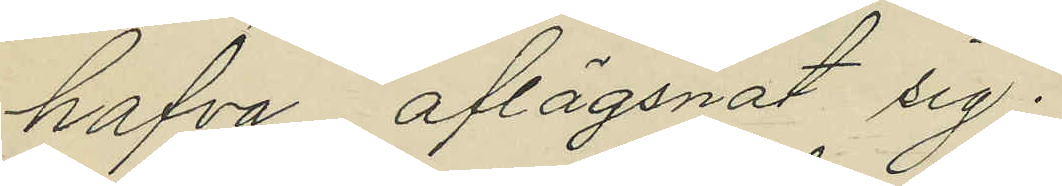hafva aflägsnat sig.
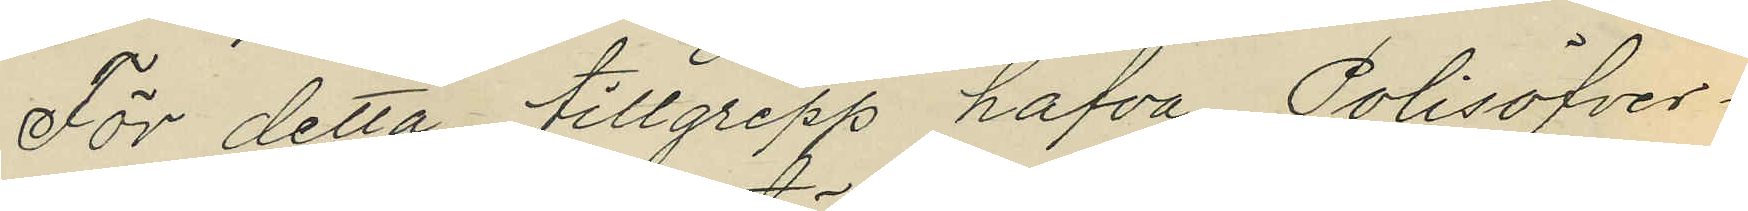För detta tillgrepp hafva Polisöfver¬
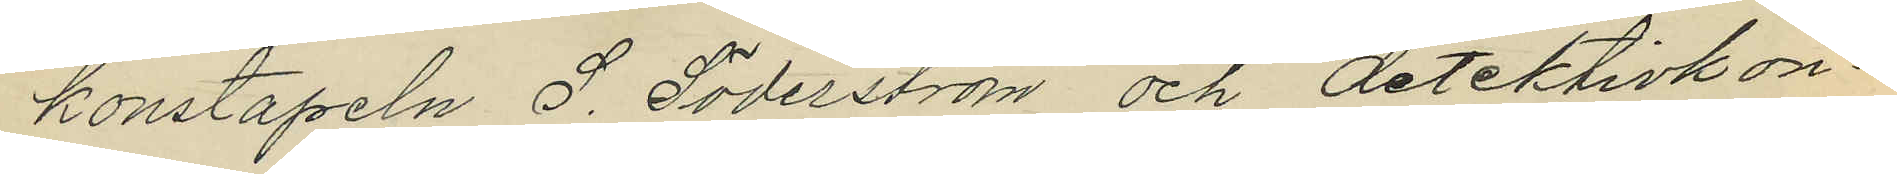konstapeln S. Söderström och detektivkon¬
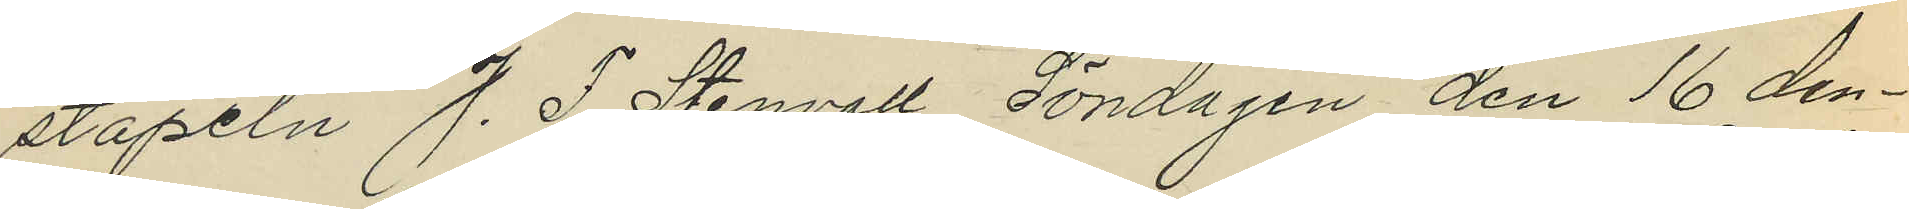stapeln J. F. Stenvall Söndagen den 16 den¬
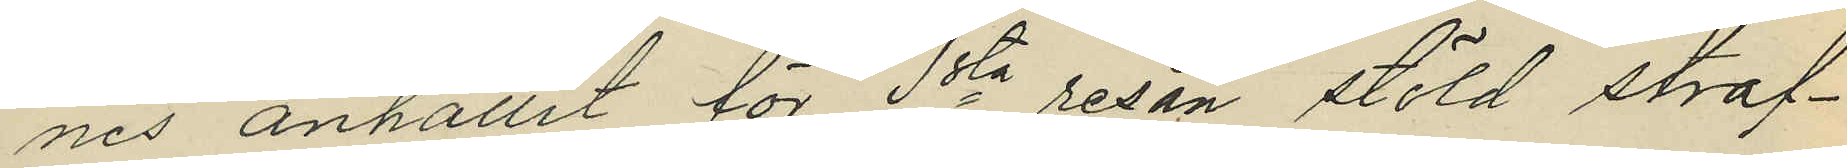nes anhållit för 1sta resan stöld straf¬
